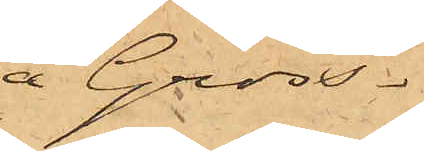å Gross¬
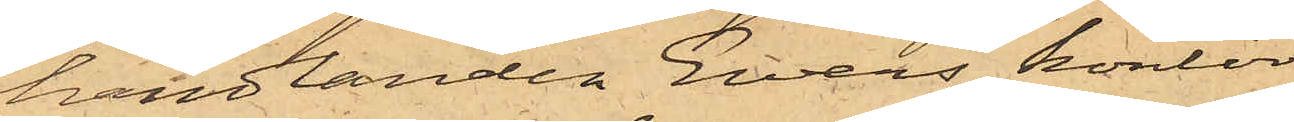handlanden Ewers' kontor
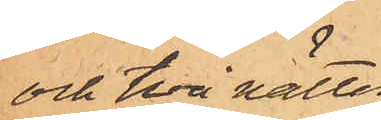och två nätter
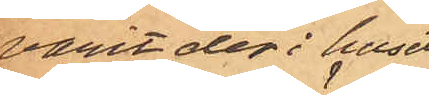varit der i huset
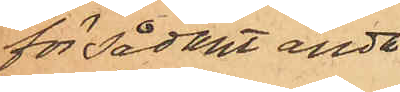för sådant ända¬
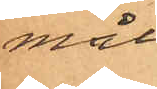mål;
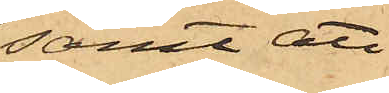samt att
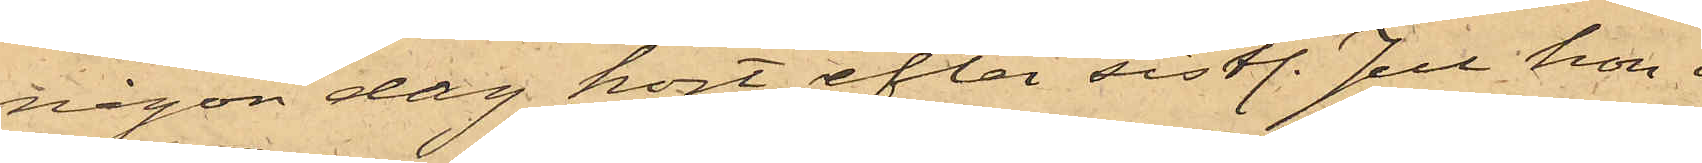någon dag kort efter sistl. Jul hon
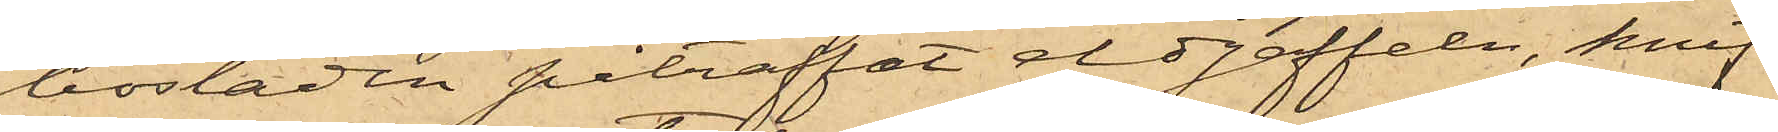bostaden påträffat eldgaffeln, knif¬
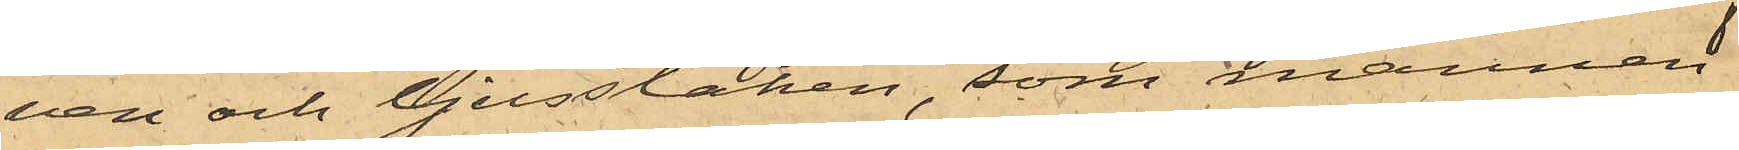ven och ljusstaken, som mannen
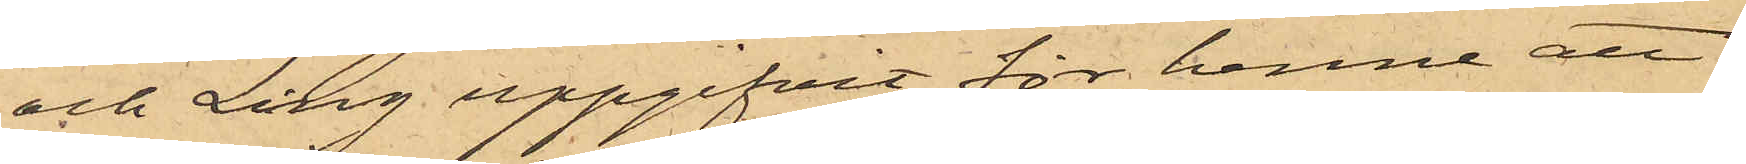och Ling uppgifvit för henne att
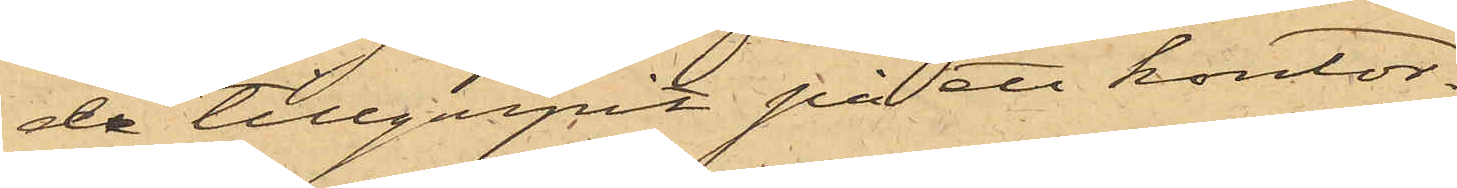de tillgripit på ett kontor.
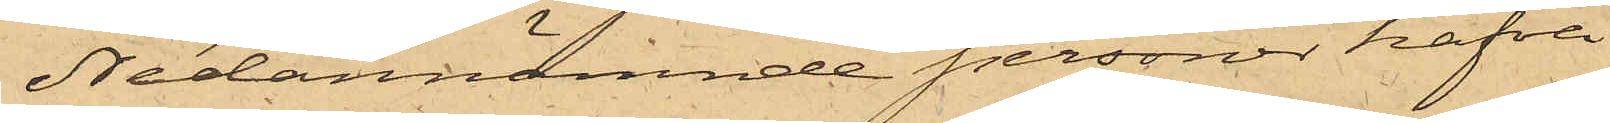Nedannämnde personer hafva
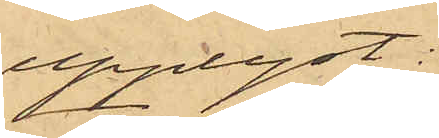upplyst:
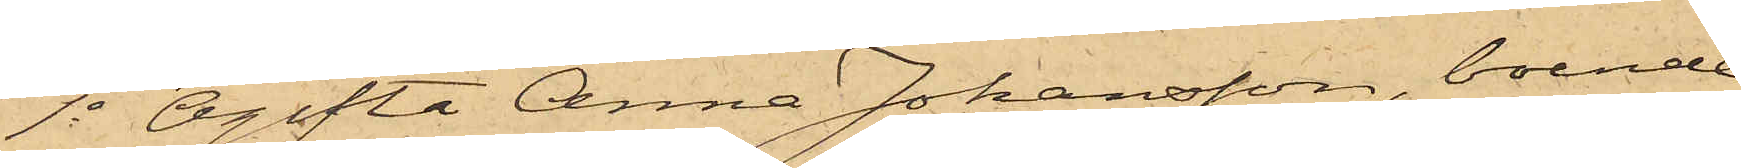1o Ogifta Anna Johansson, boende
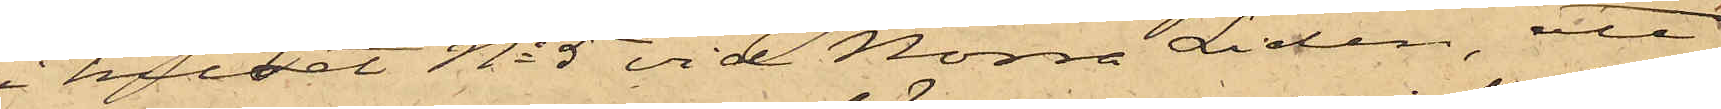i huset No 5 vid Norra Liden, att
